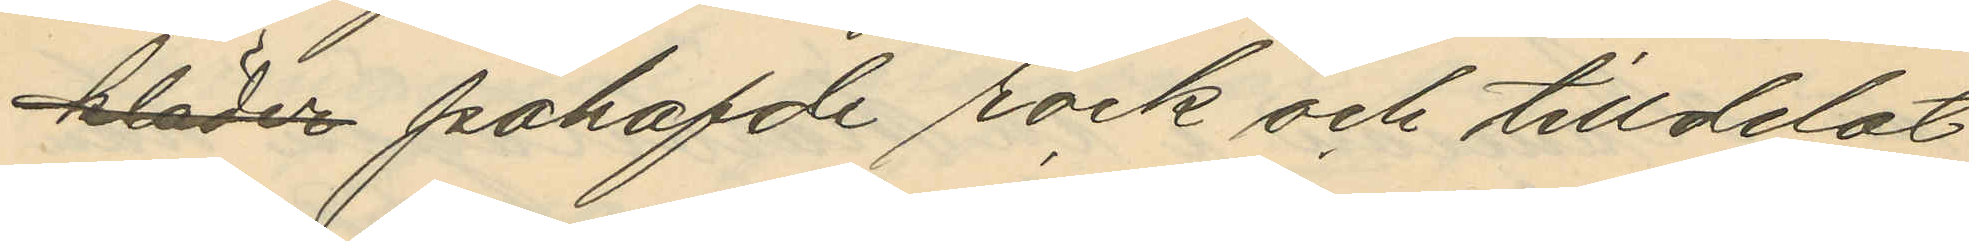kläder påhafde rock och tilldelat
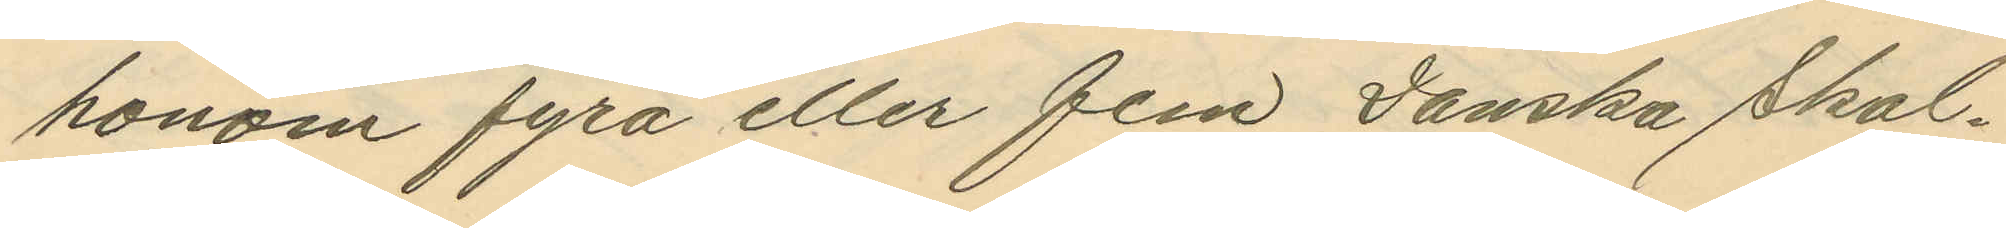honom fyra eller fem Danska skal¬
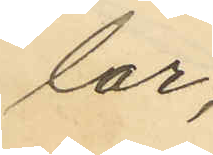lar;
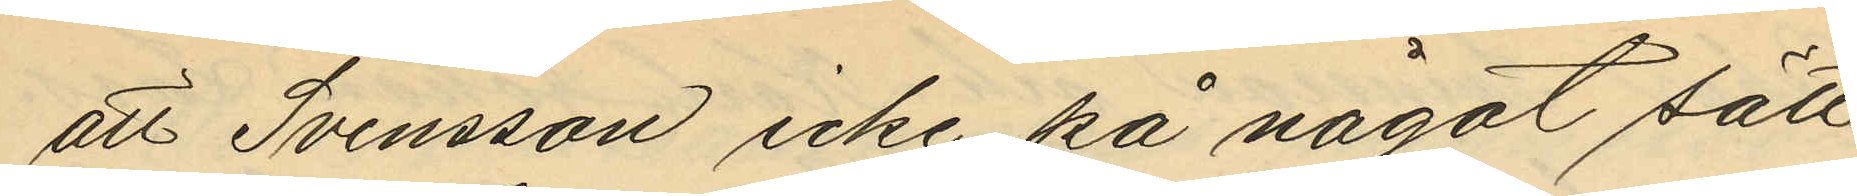att Svensson icke på något sätt
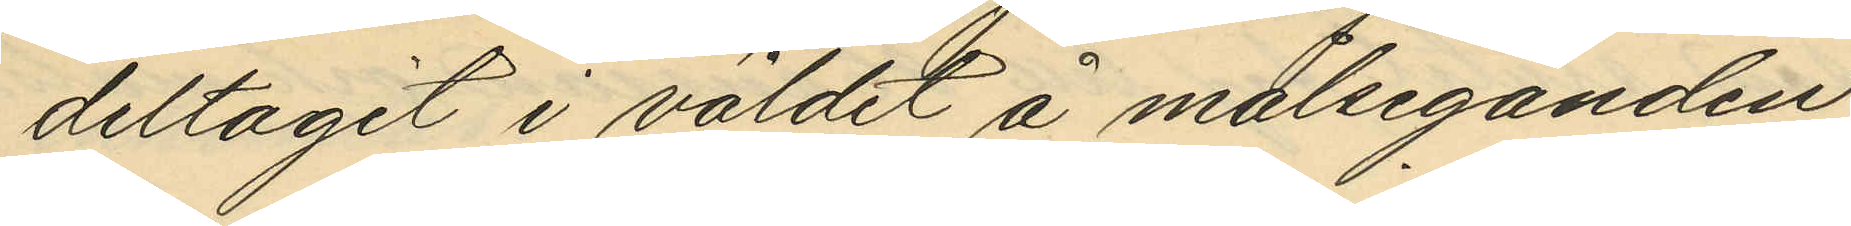deltagit i våldet å målseganden
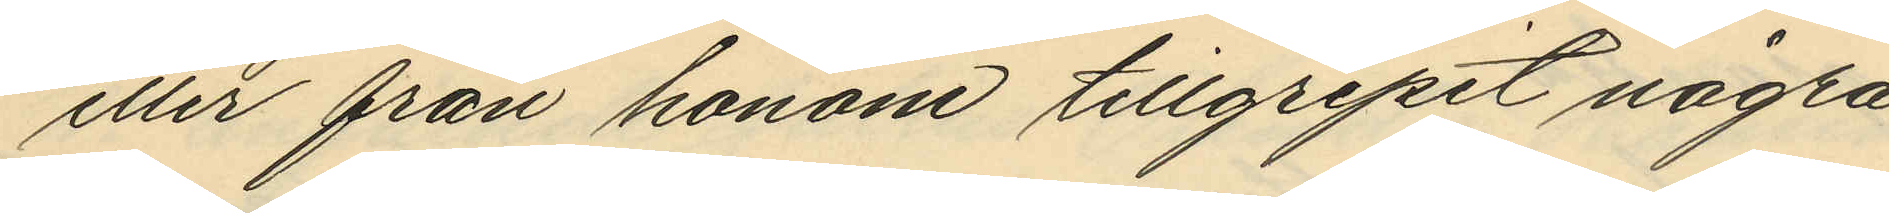eller från honom tillgripit några
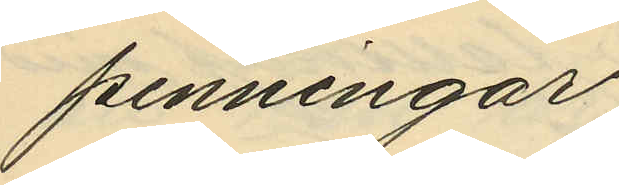penningar;
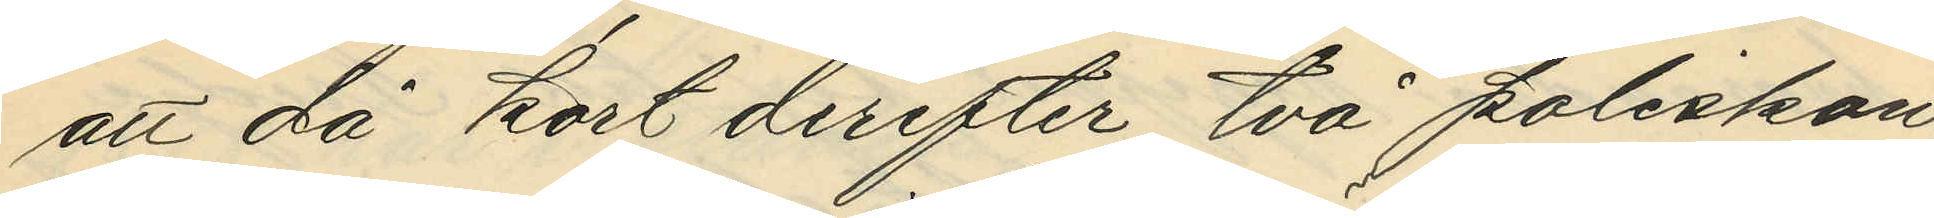att då kort derefter två poliskon¬
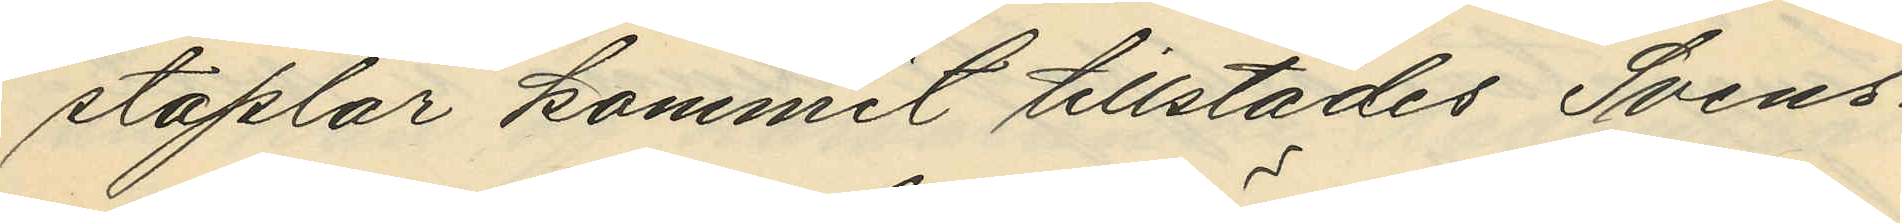staplar kommit tillstädes Svens¬
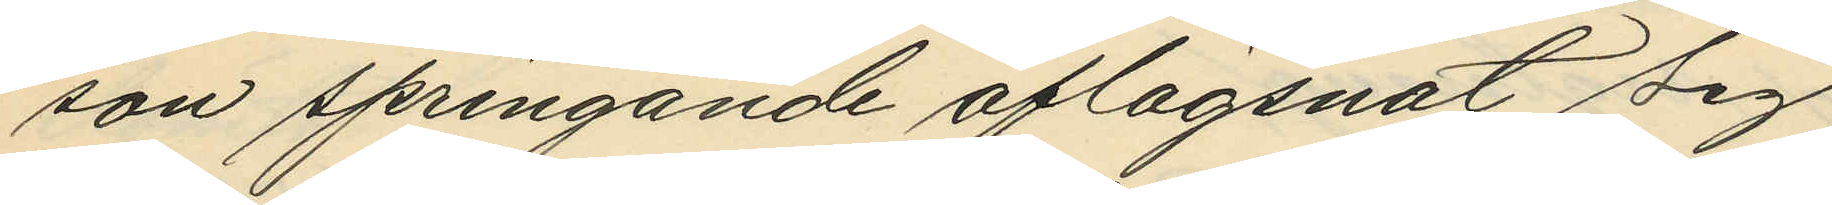son springande aflägsnat sig
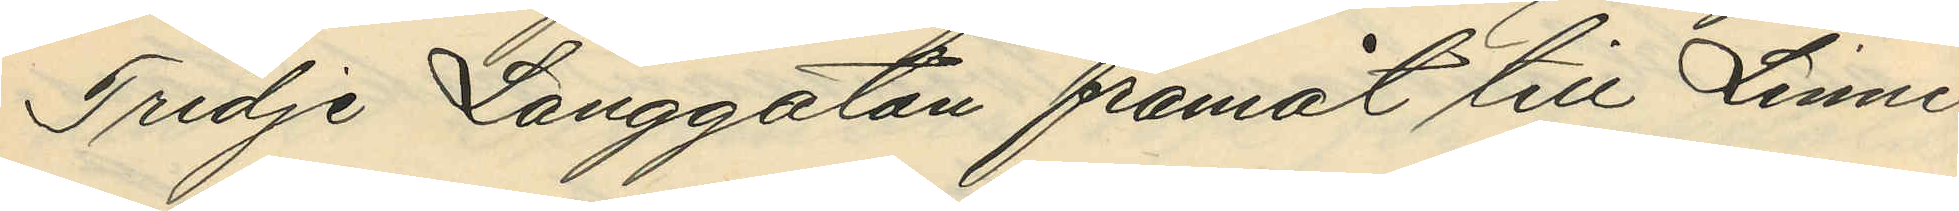Tredje Långgatan framåt till Linné¬
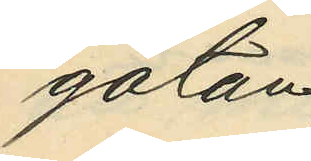gatan;
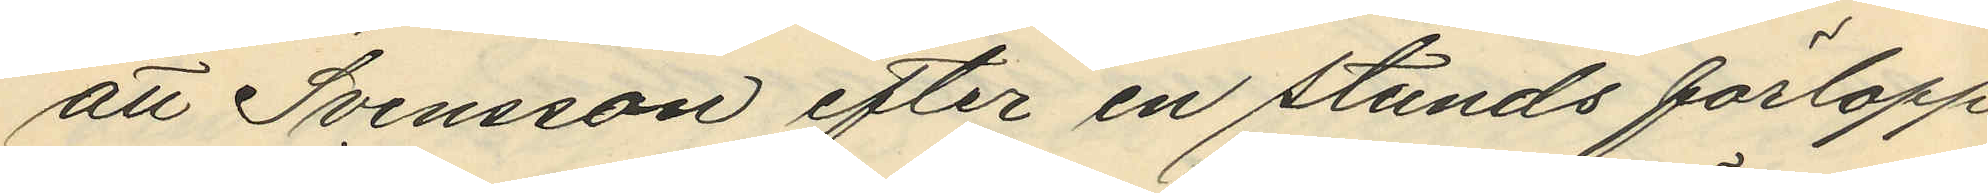att Svensson efter en stunds förlopp
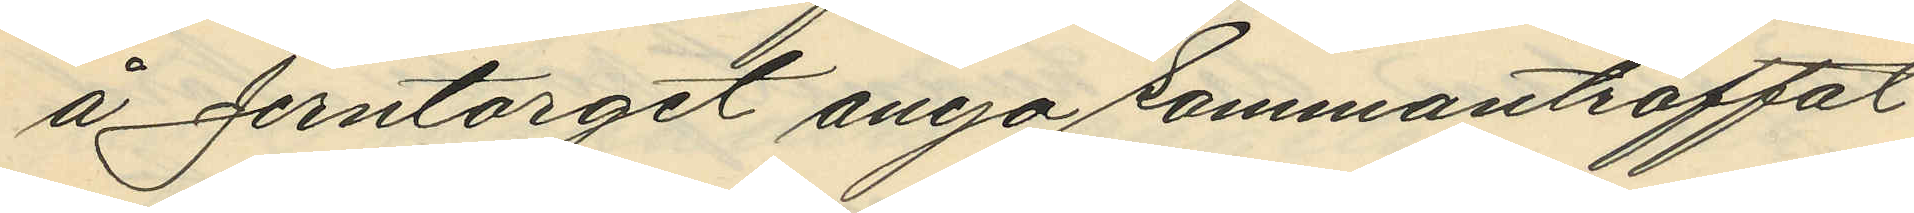å Jerntorget ånyo sammanträffat
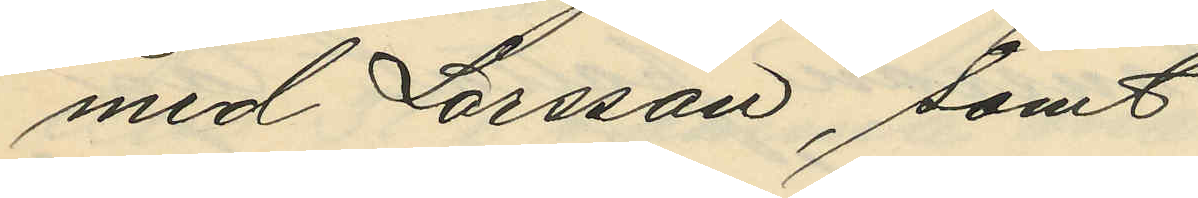med Larsson, samt
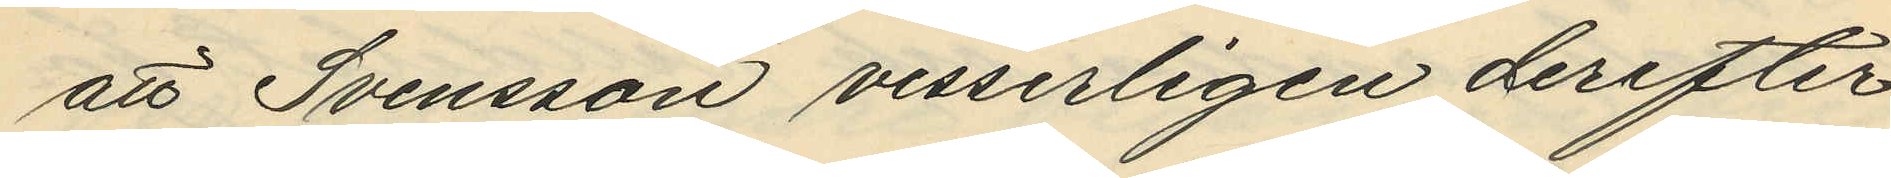att Svensson visserligen derefter
